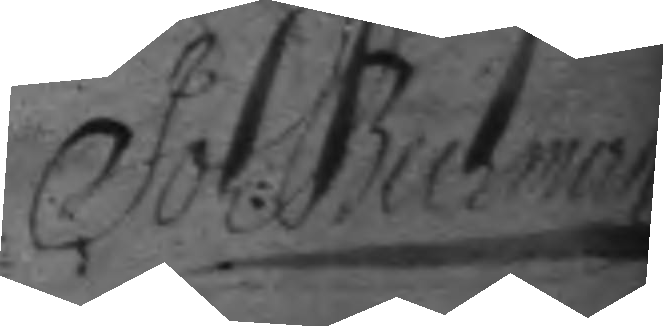Joh: Bukman 
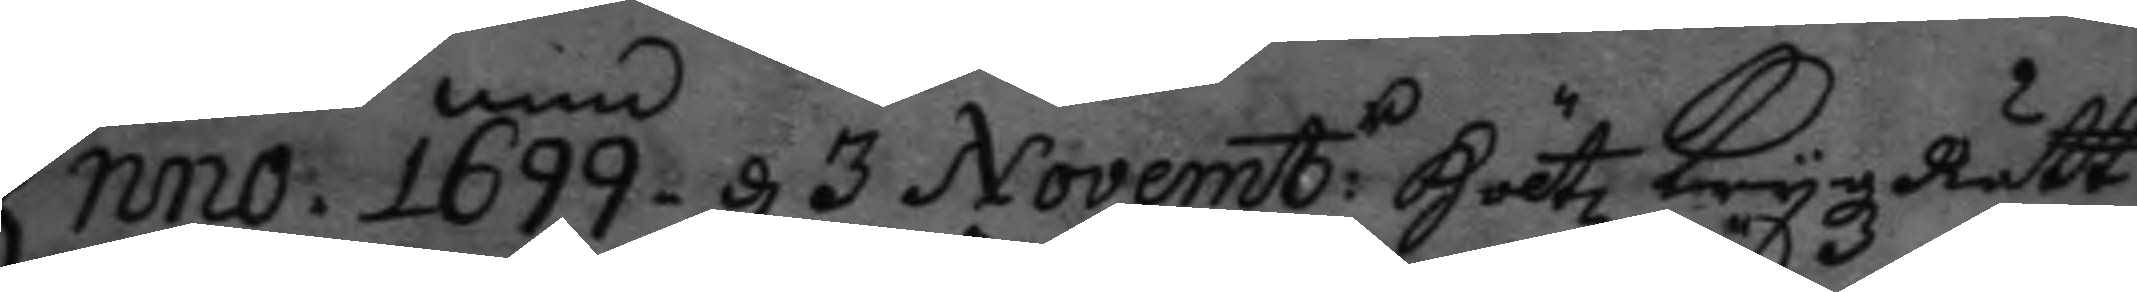Anno 1699. d 3 Novemb:r Höltz Krygz Rätt 
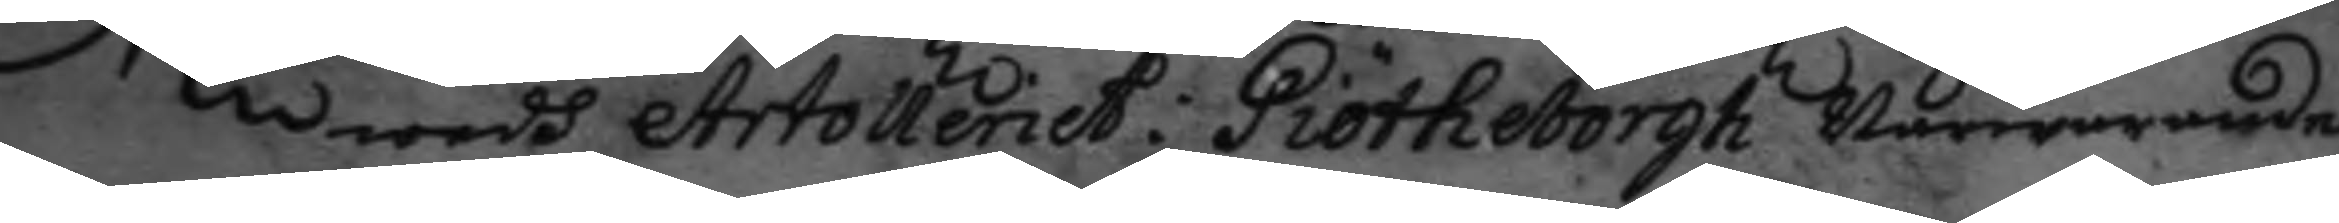wedh Artolleriet i Giötheborgh närwarande.
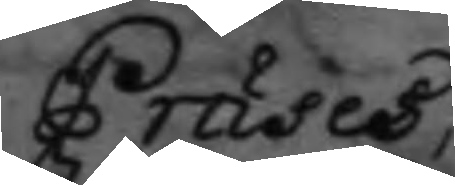Præses,
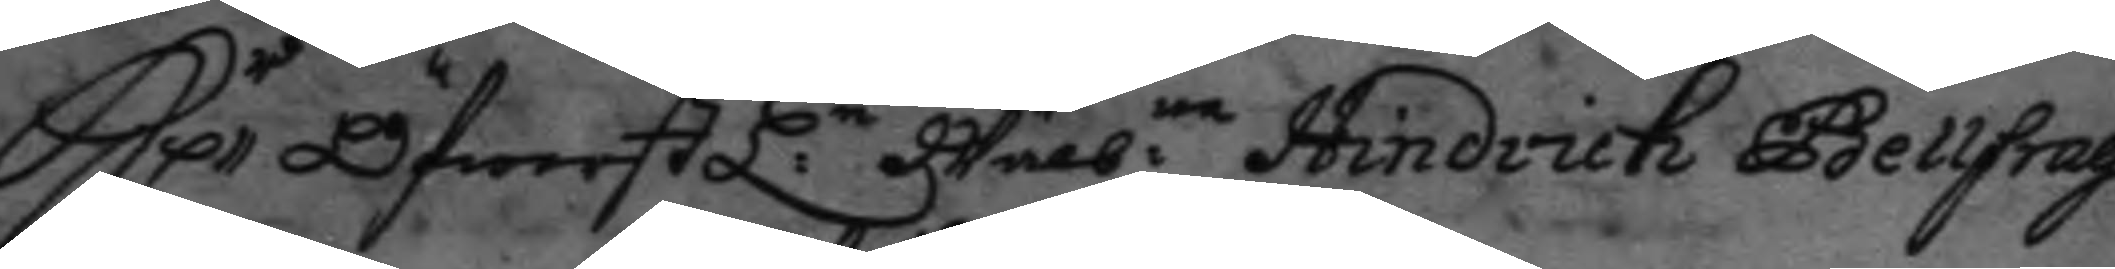H:r Öfwerstl:n  Wälb:ne Hindrich Bellfrag: 
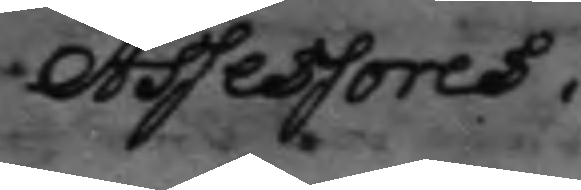Assessores.
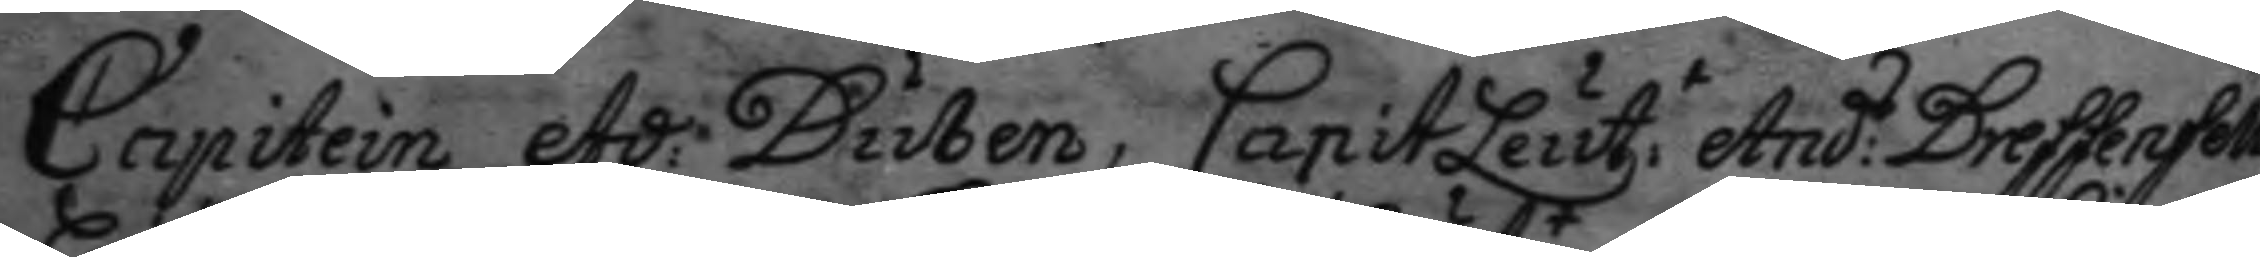Capitein Ad: Duben, CapitLeut:t And:s Dressenfelt 
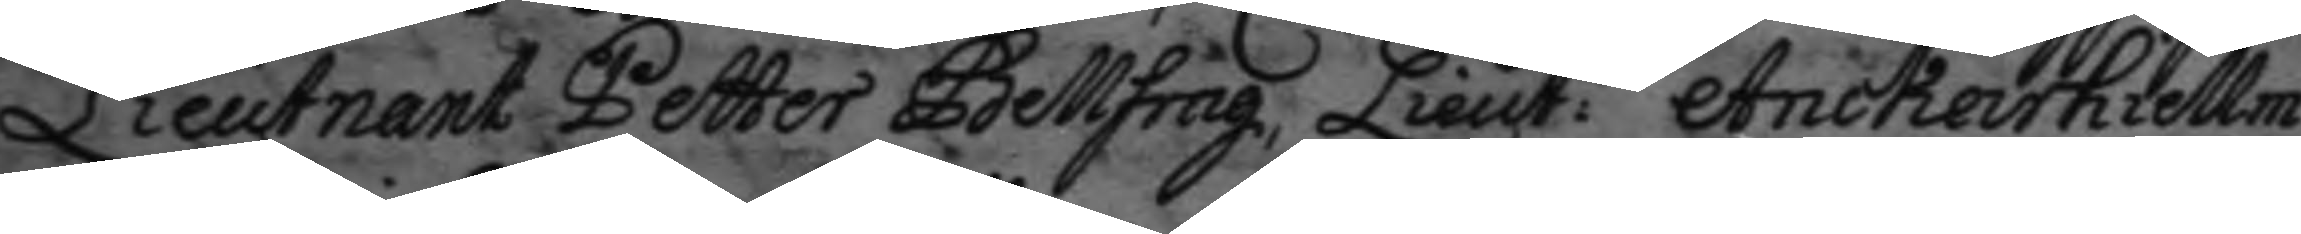Lieutnant Petter Bellfrag, Lieut:t Anckarhiellm 
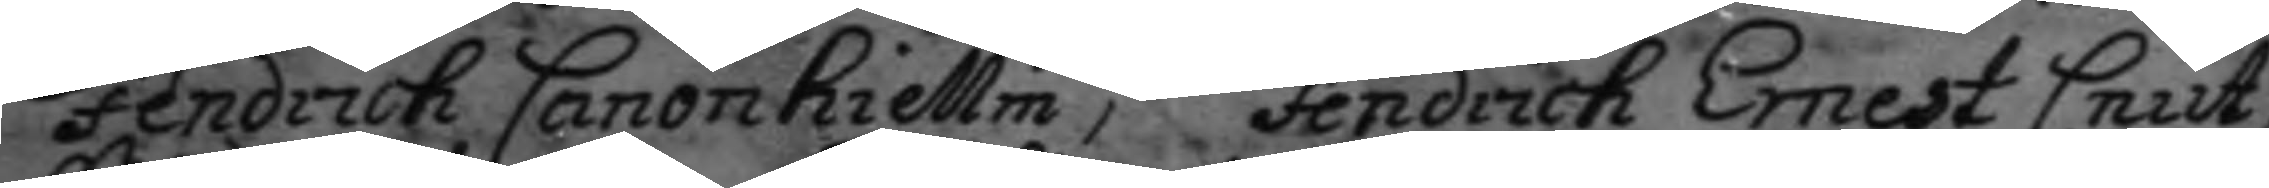Fendrich Canonhiellm, Fendrich Ernest Cnut,
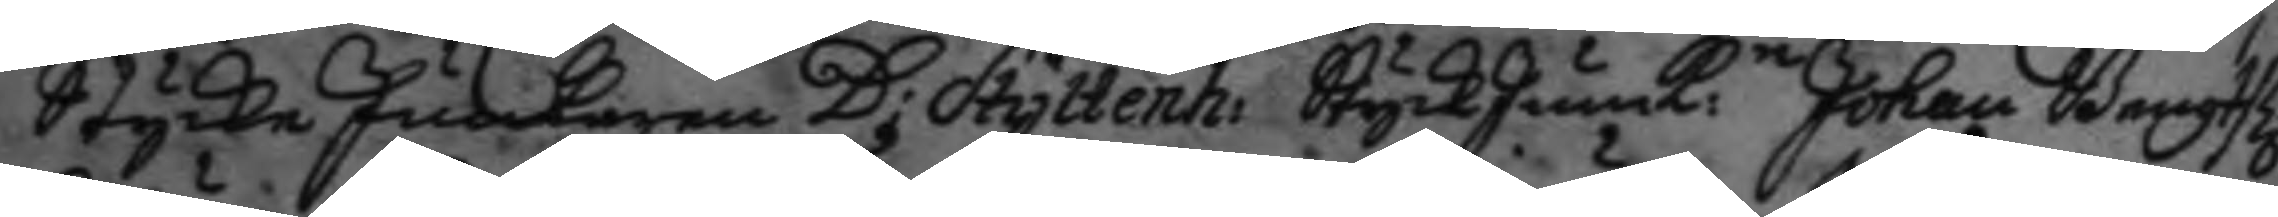Stycke Junkaren D: Hyltenh: StyckJunk.n Johan Bengts: 
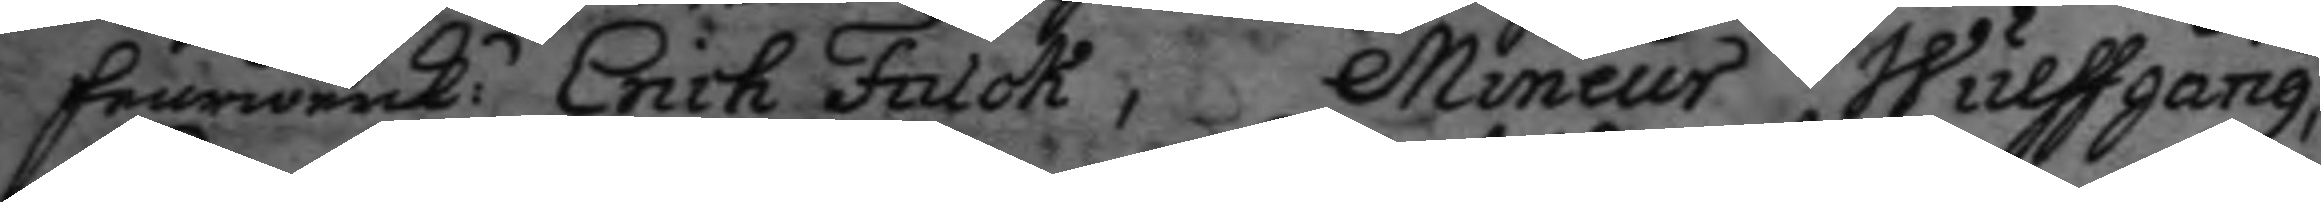feurwerk.n Erich Falck; Mineur Wulffgang, 
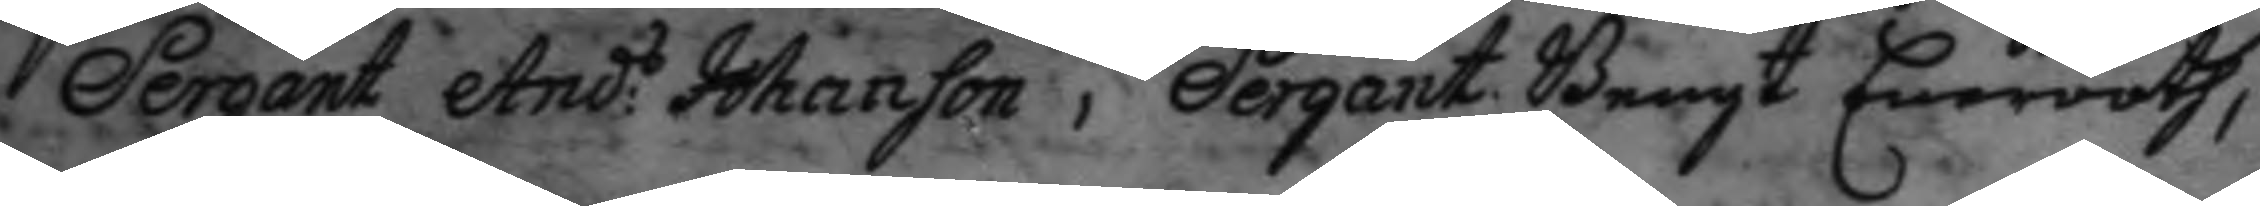Sergant And:s Johanson, Sergant Bengt Enerooth, 
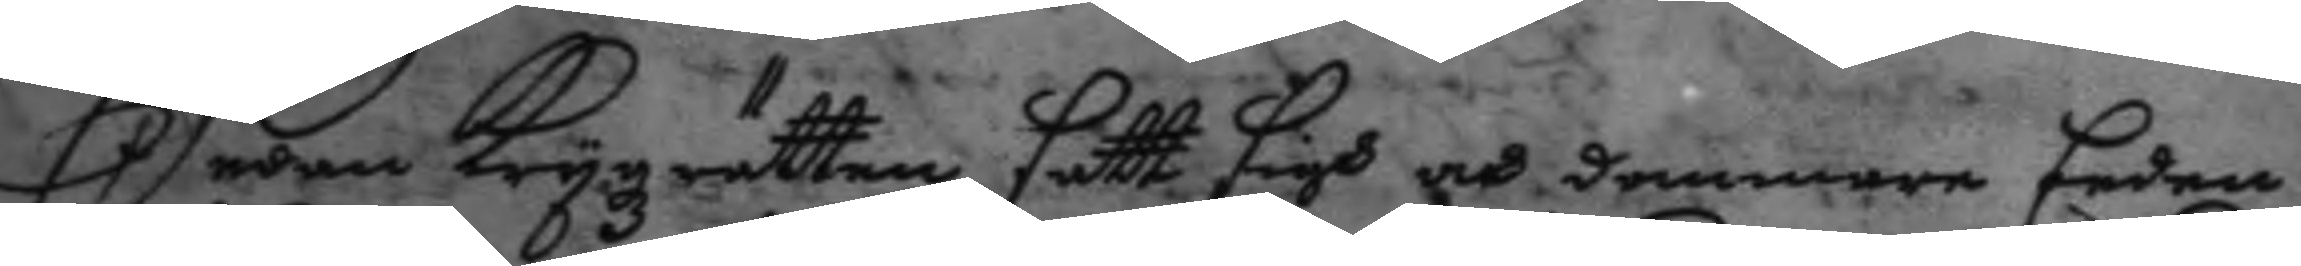Sedan Krygzrätten satt sigh och dommare Eeden 
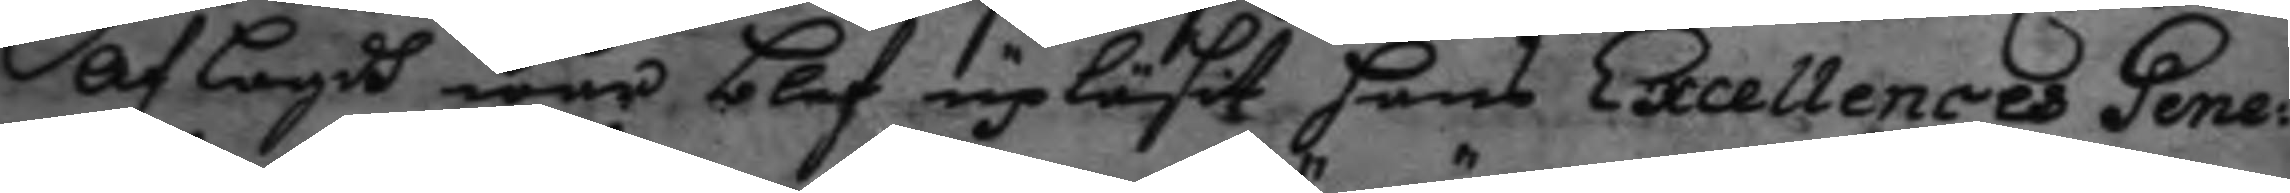af lagdh war blef upläsit hans Excellences Gene¬
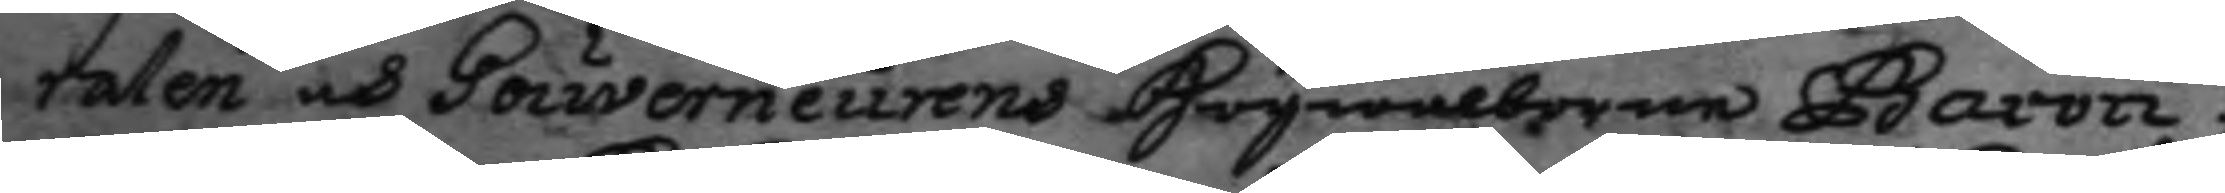ralen och Gouverneurens Högwälborne Baron
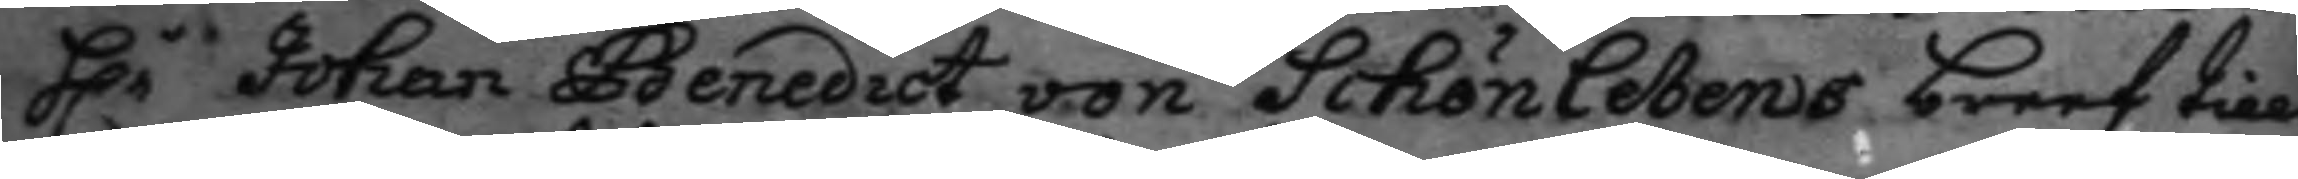H:r Johan Benedict von Schönlebens breef till 
